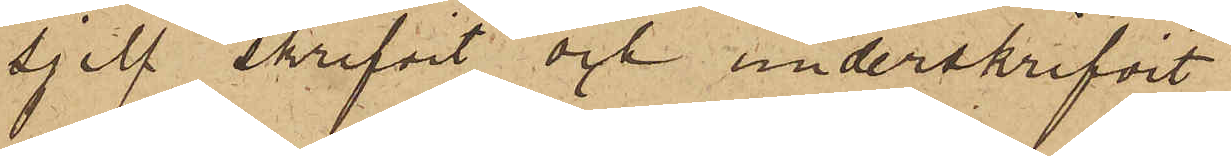sjelf skrifvit och underskrifvit
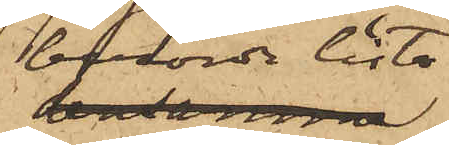berörde lista
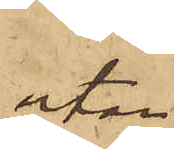utan
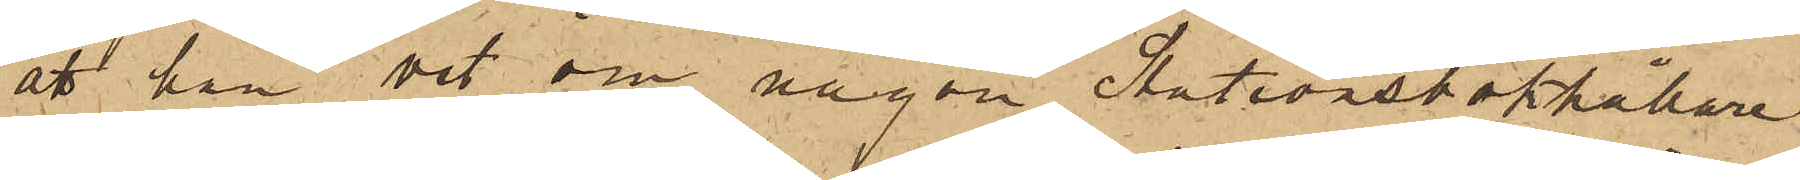att han vet om någon Stationsbokhållare
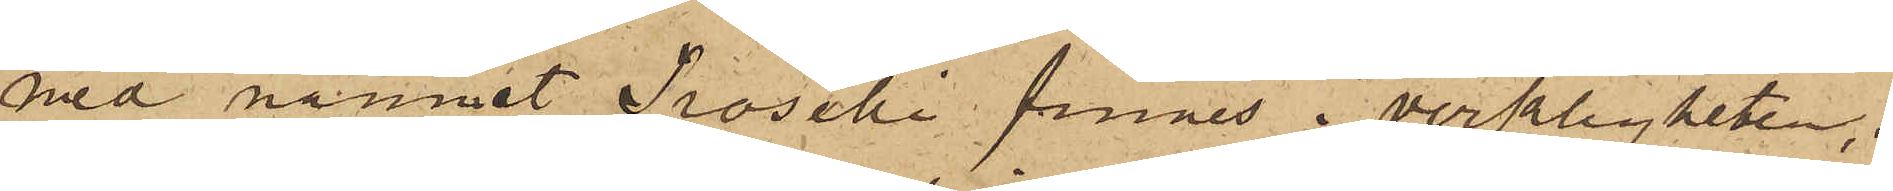med namnet Troselli finnes i verkligheten;
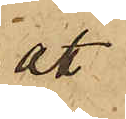att
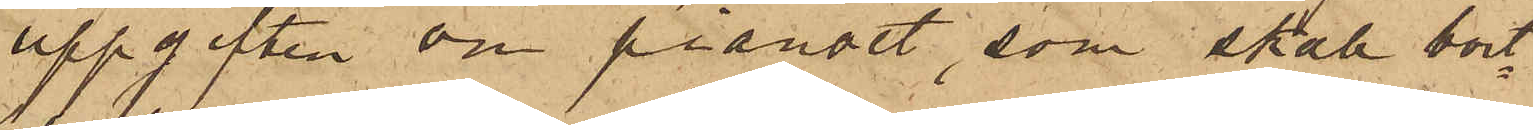uppgiften om pianot, som skall bort¬
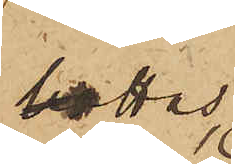lottas
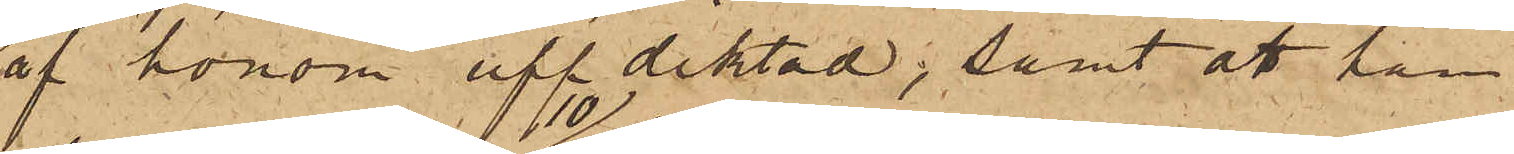af honom uppdiktad; samt att han
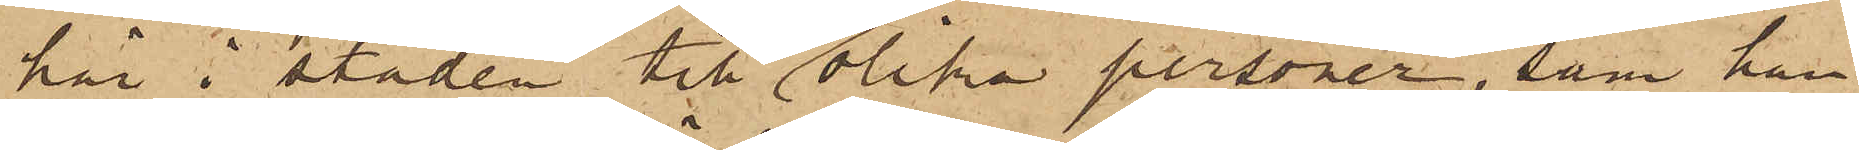här i staden till 10 olika personer, som han
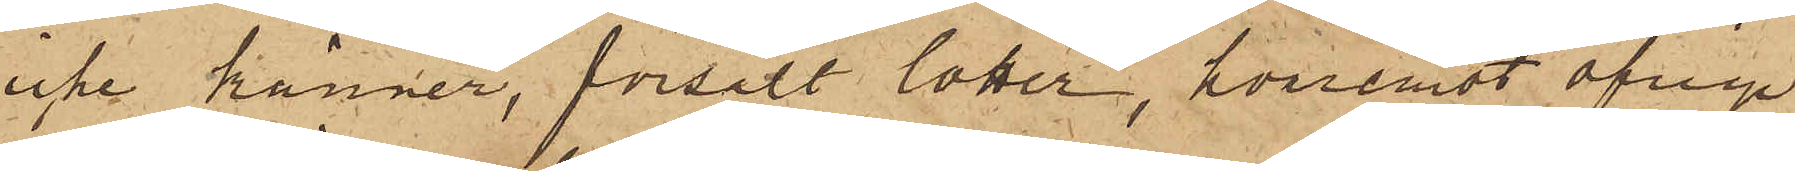icke känner, försålt lotter, hvaremot öfrige
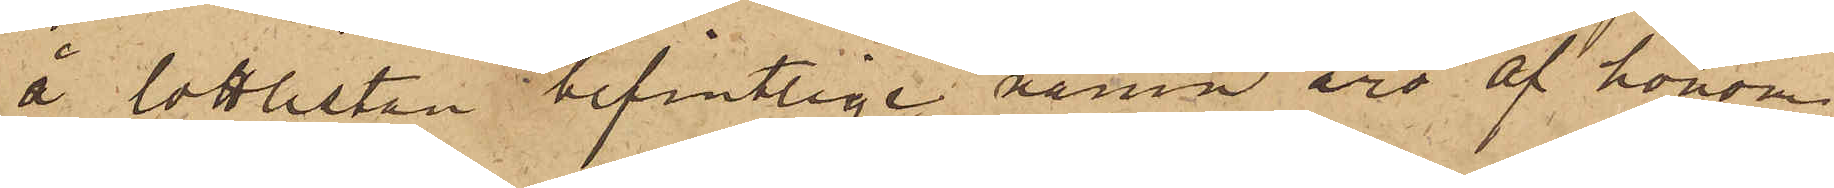å lottlistan befintlige namn äro af honom
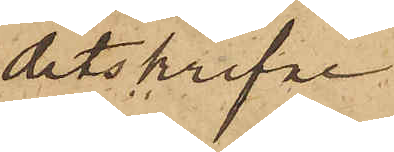ditskrifne
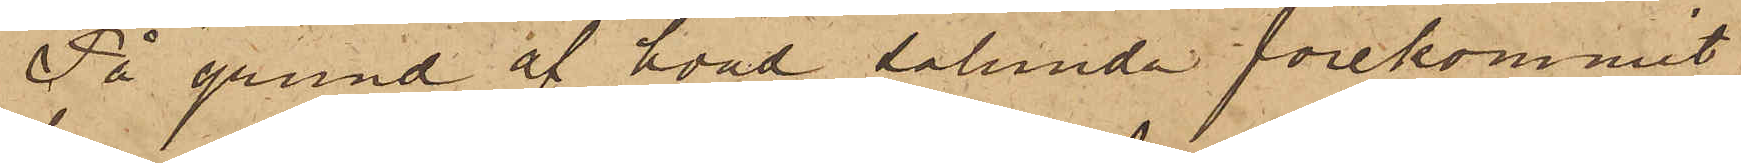På grund af hvad sålunda förekommit
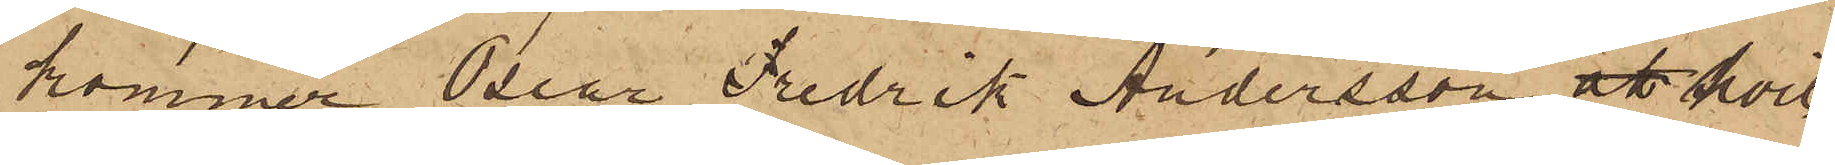kommer Oscar Fredrik Andersson, att hvil¬
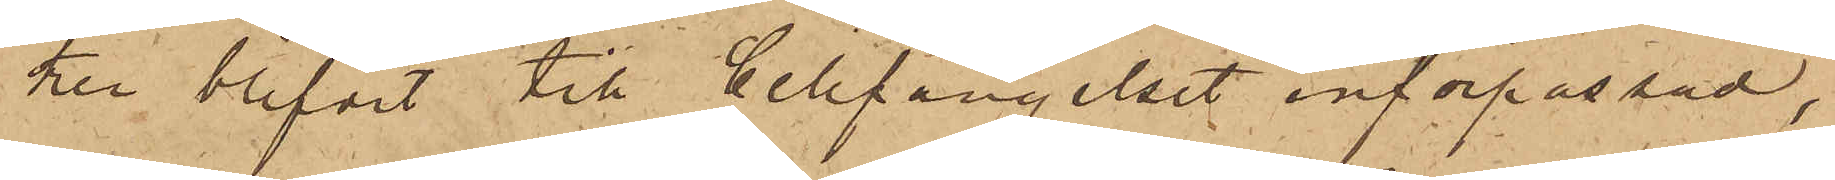ken blifvit till Cellfängelset införpassad,
